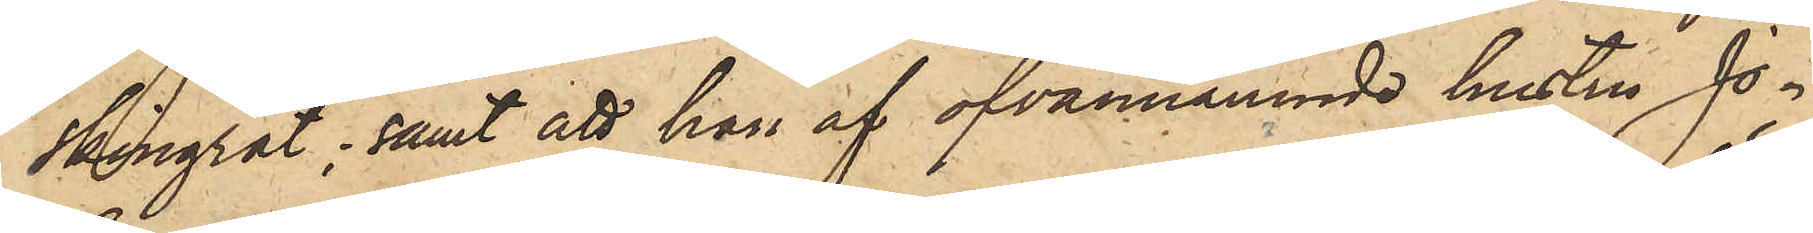skingrat; samt att han af ofvannämnde hustru Jo¬
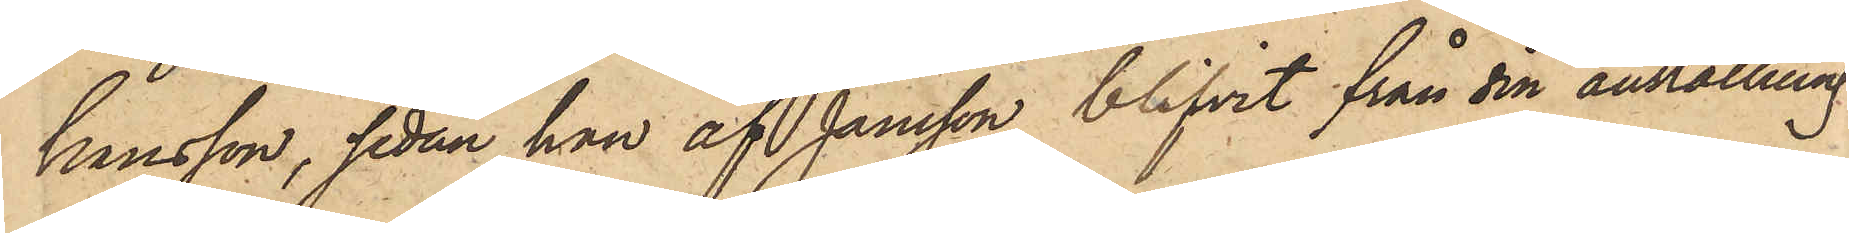hansson, sedan han af Jansson blifvit från sin anställning
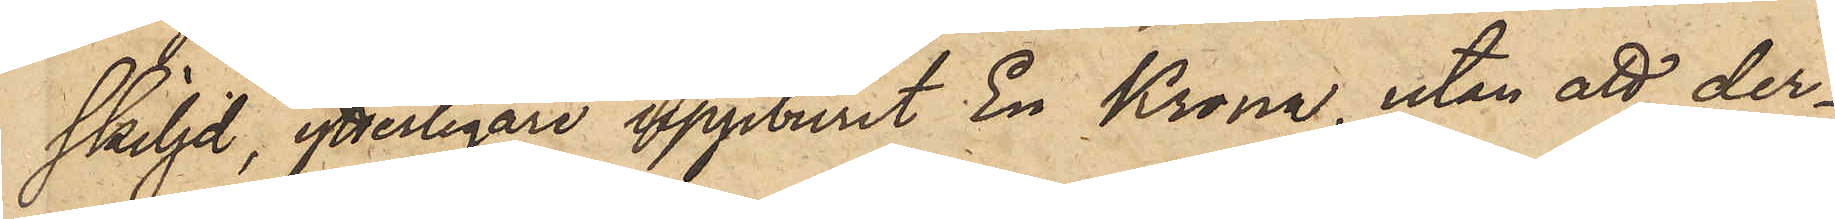skiljd, ytterligare uppburit En Krona, utan att der¬
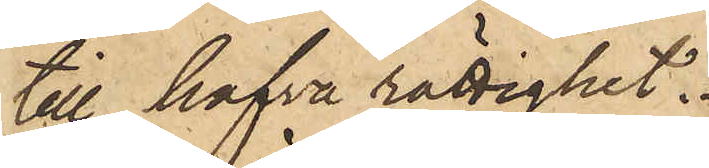till hafva rättighet.
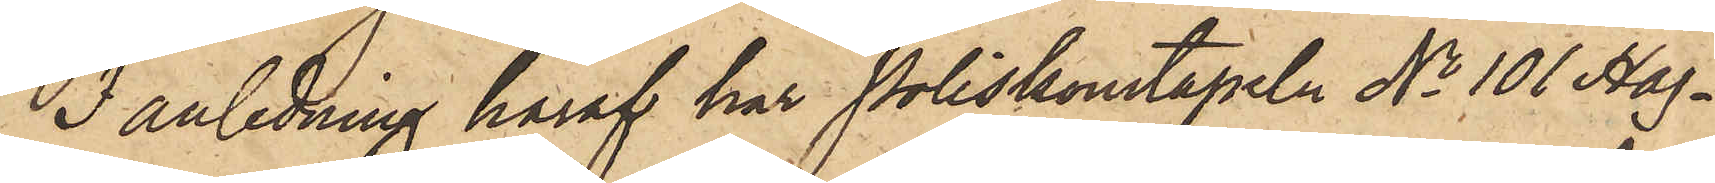I anledning häraf har Poliskonstapeln No 101 Hag¬
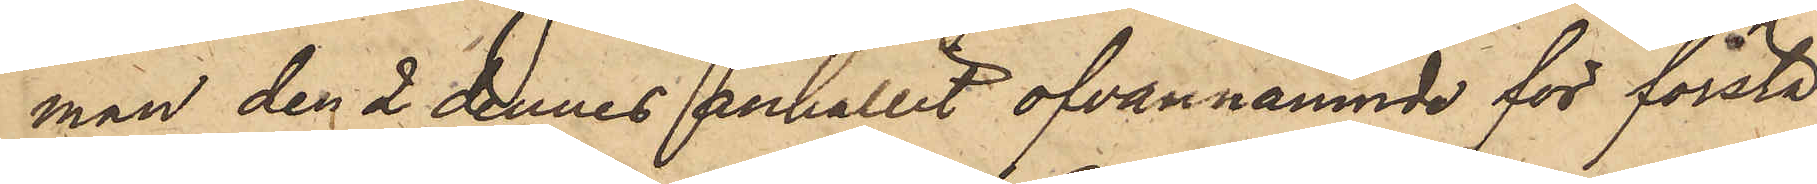man den 2 dennes anhållit ofvannämnde för första
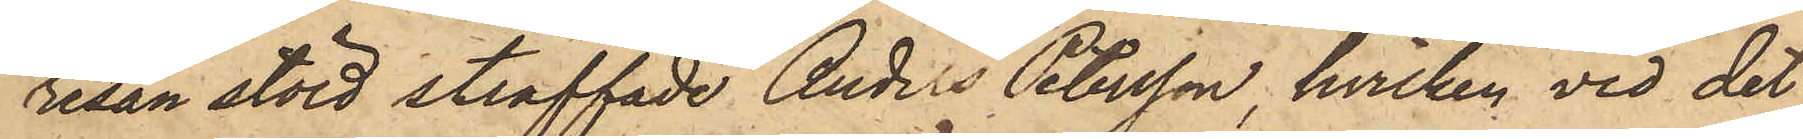resan stöld straffade Anders Petersson, hvilken vid det
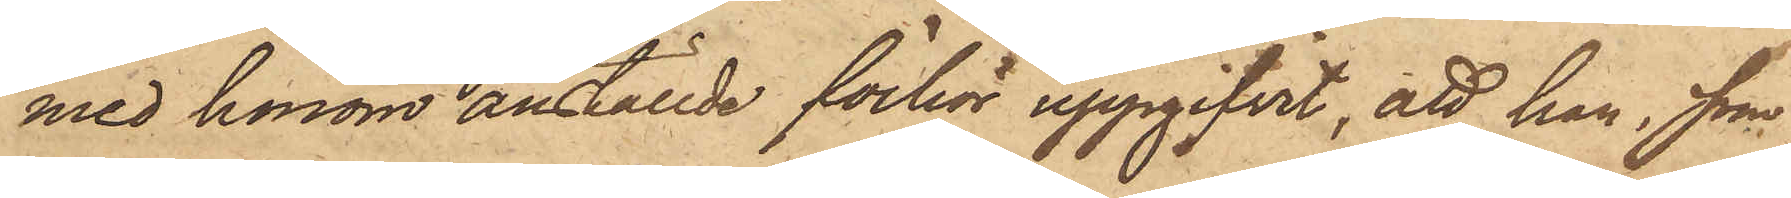med honom anställde förhör uppgifvit, att han, som
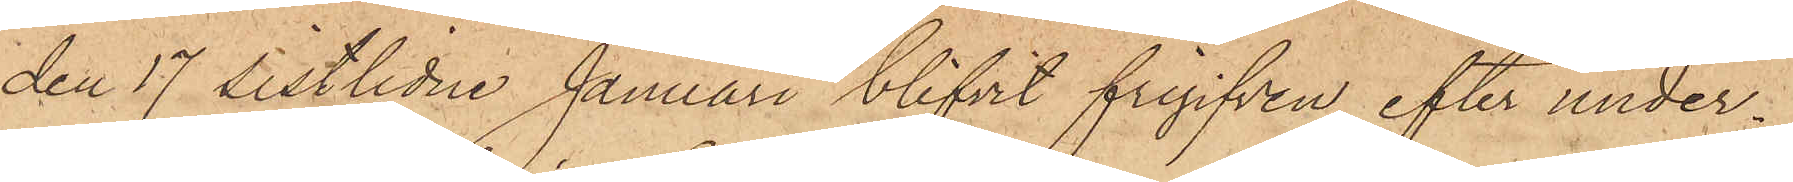den 17 sistlidne Januari blifvit frigifven efter under¬
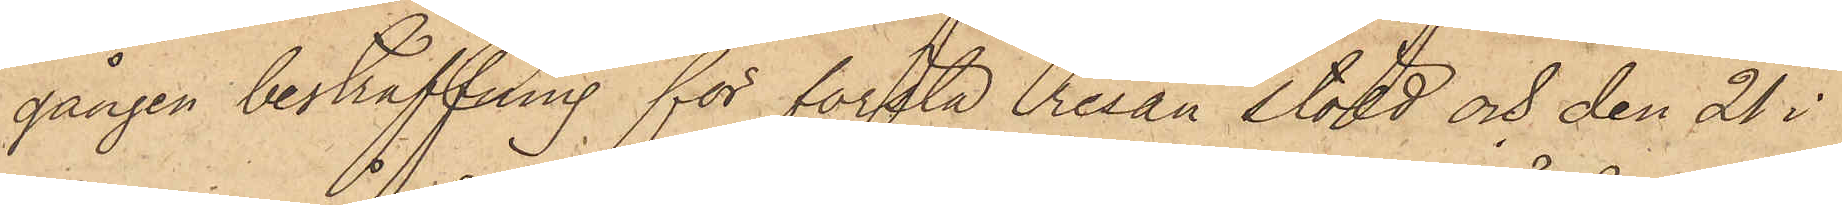gången bestraffning för första resan stöld och den 21 i
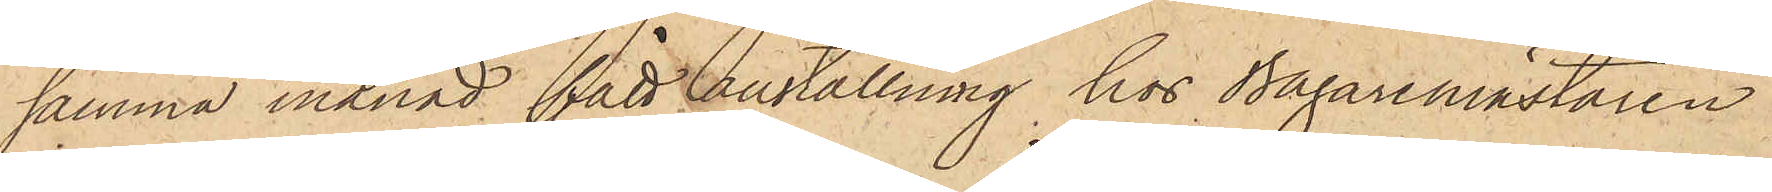samma månad fått anställning hos Bagaremästaren
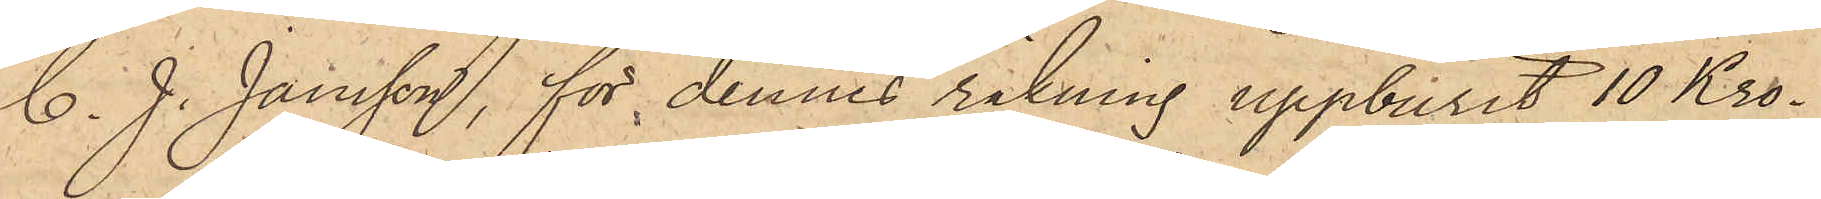C. J. Jansson, för dennes räkning uppburit 10 Kro¬
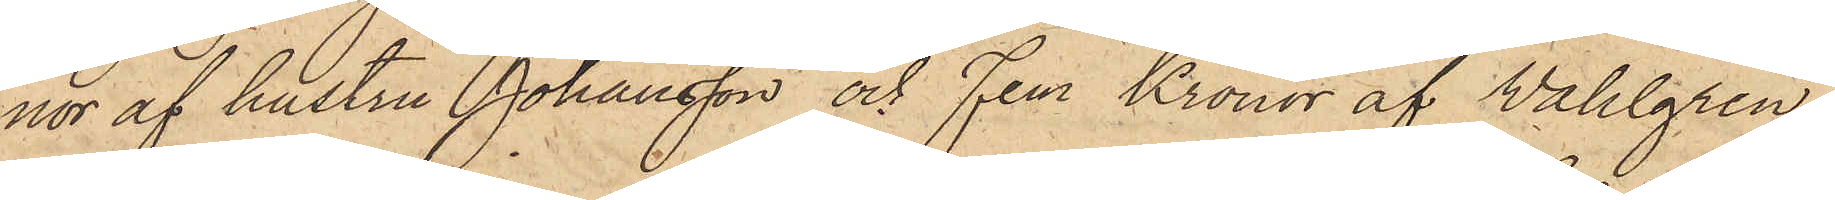nor af hustru Johansson och Fem Kronor af Wahlgren;
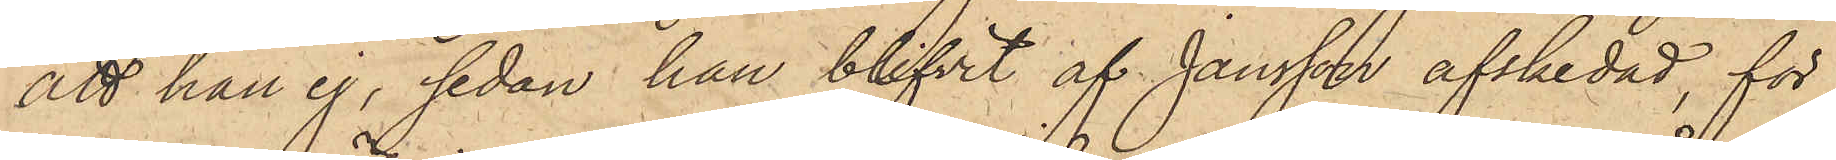att han ej, sedan han blifvit af Jansson afskedad, för
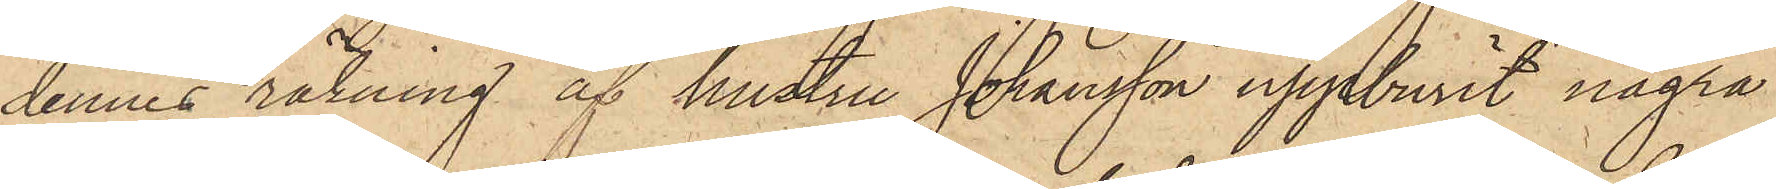dennes räkning af hustru Johansson uppburit några
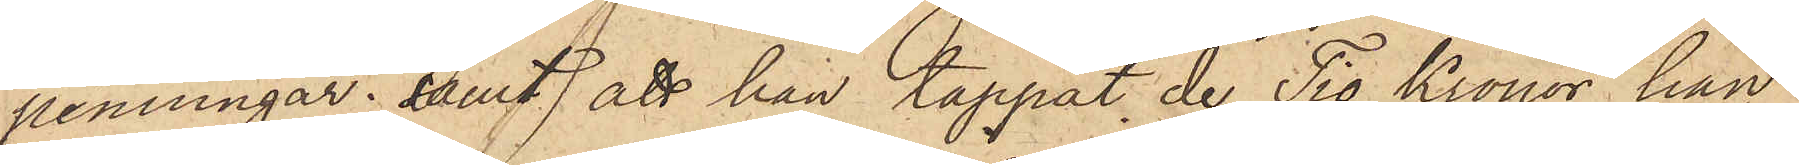penningar; samt att han tappat de Tio Kronor han
